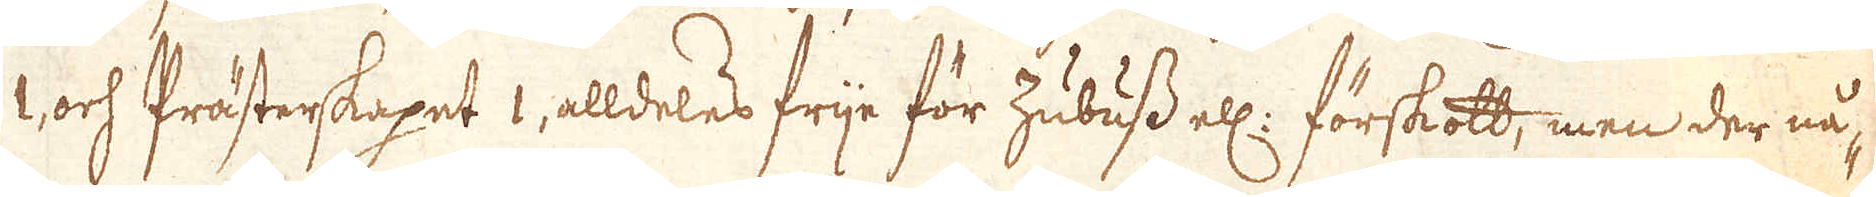1, och Prästerkapet 1, aldeles frije för zubuss ell: förskott, men der nå-
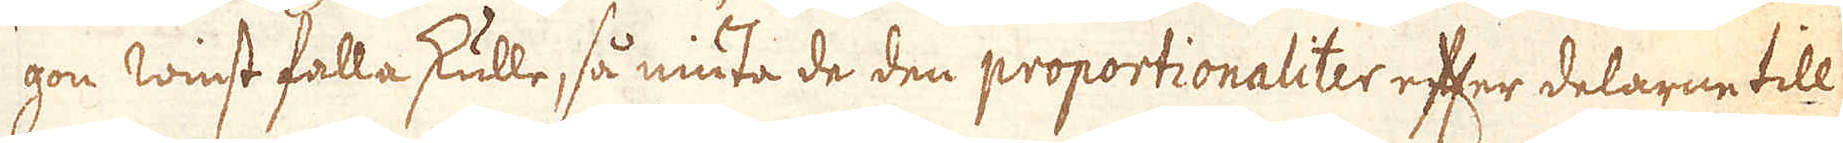gon winst falla skulle, så niuta de den proportionaliter efter delarne till
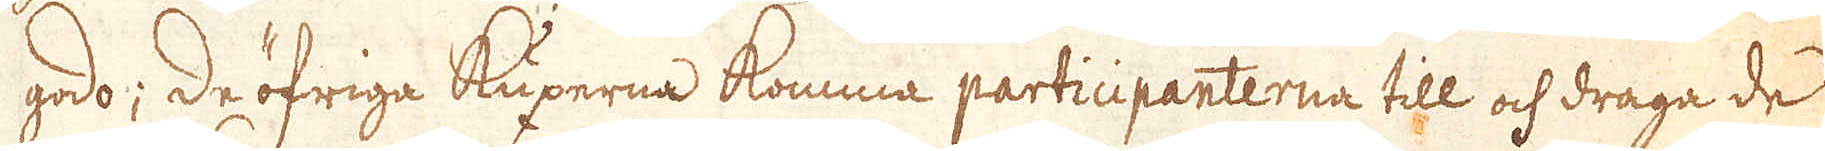godo; de öfriga Kuxerna komma participanterna till och draga de
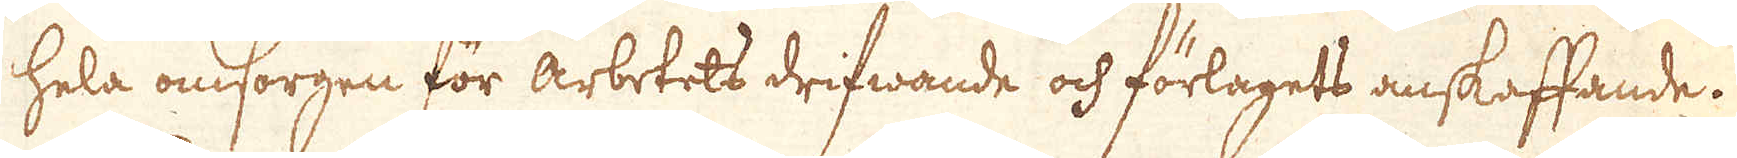hela omsorgen för arbetets drifwande och förlagets anskaffande.
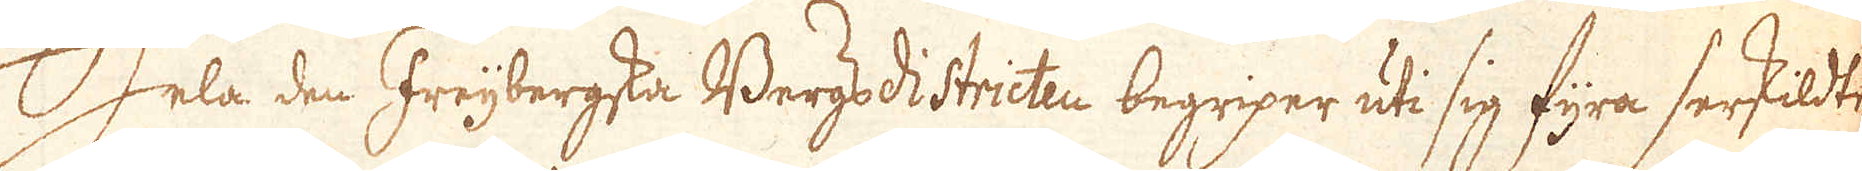Hela den Freijbergska Bergsdistricten begriper uti sig fyra serskildte
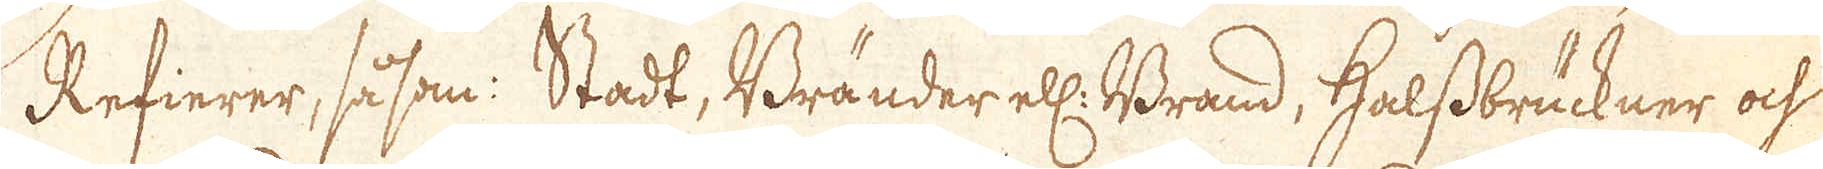Refierer, såsom: Stadt, Bränder ell: Brand, Halssbrückner och
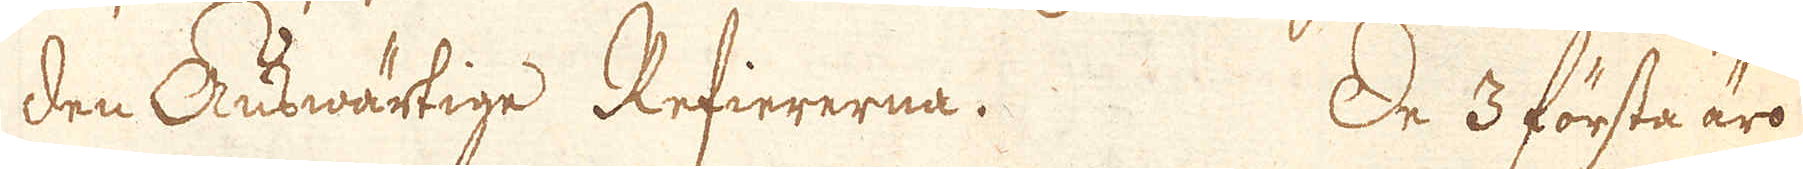den Auswärtige Refiererna. De 3 första äro
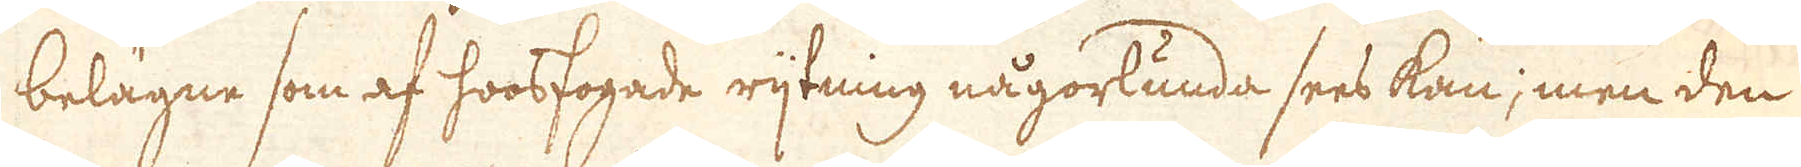belägne som af hoosfogade rijtning någorlunda sees kan; men den
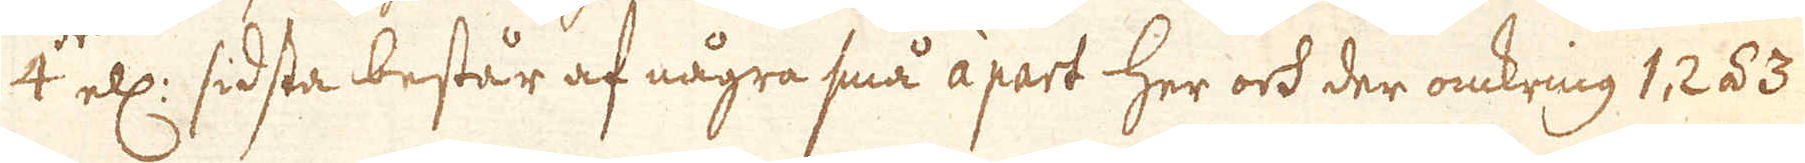4:de ell: sidsta består af några små apart her och der omkring 1, 2 á 3
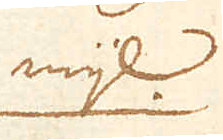mijl
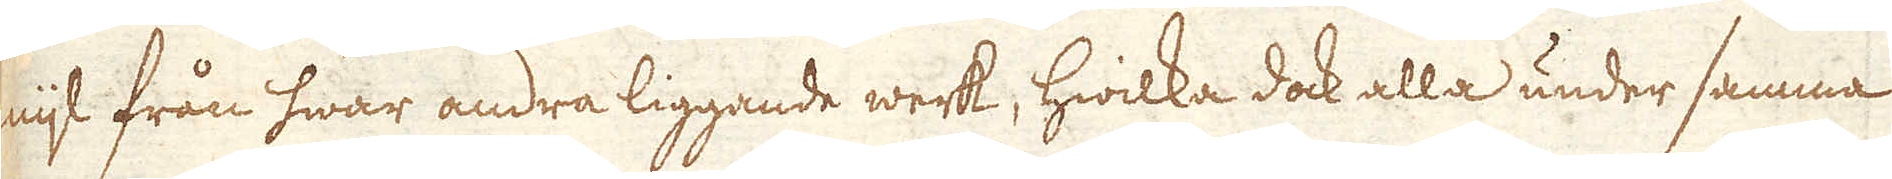nijt från hwar andra liggande werk, hwilka dock alla under samma
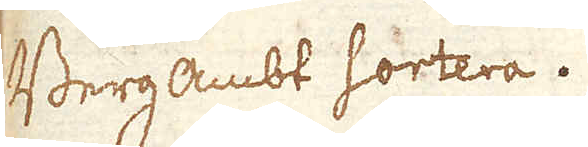Bergambt sortera.
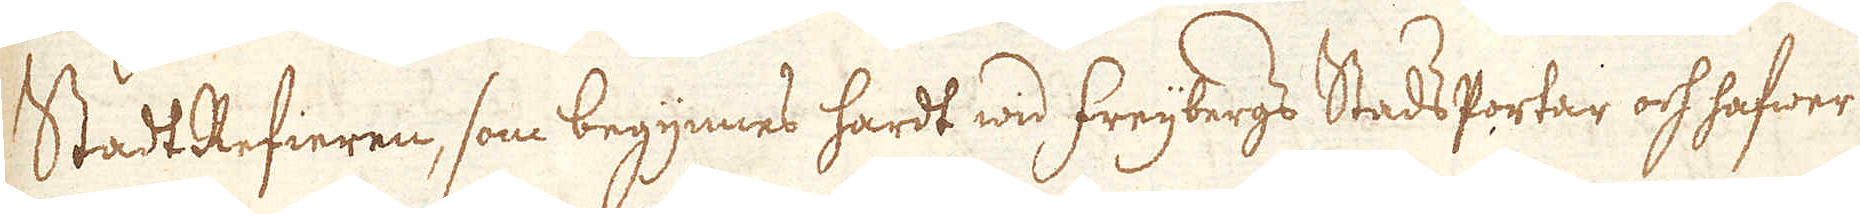StadtRefieren, som begynnes hardt wid freijbergs StadsPortar och hafwer
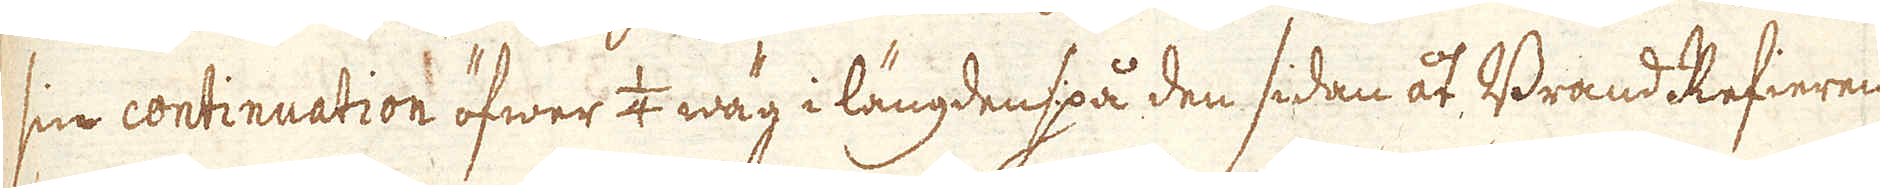sin continuation öfwer 1/4 wäg i längden på den sidan åt Brand Refieren
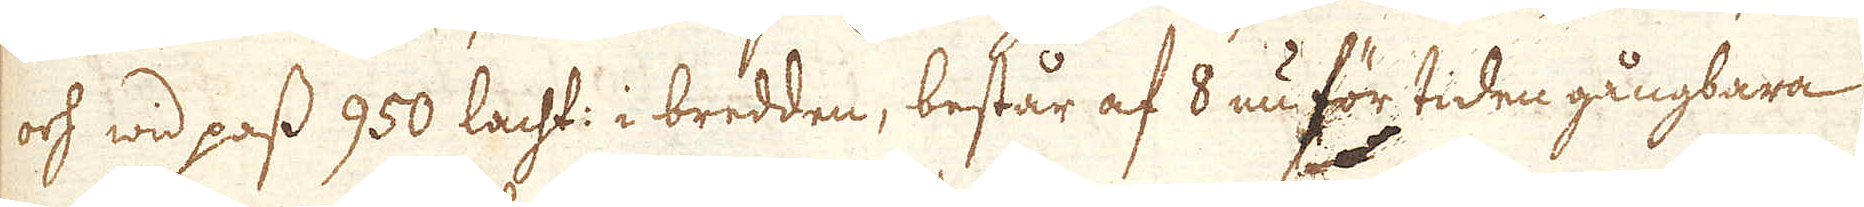och wid pass 950 lacht: i bredden, består af 8 nu för tiden gångbara
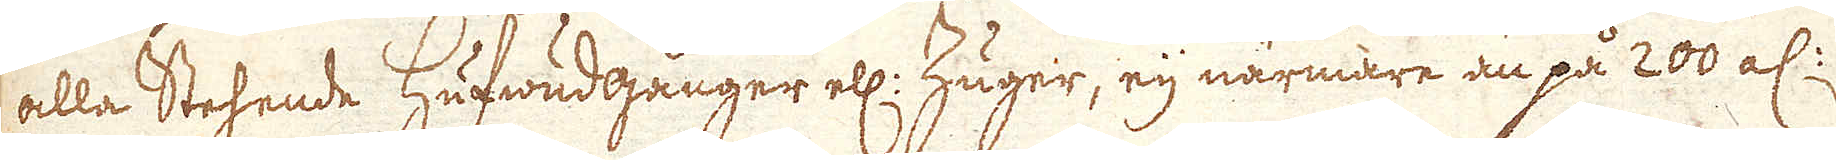alla Stehende hufwudgånger ell: Zuger, eij närmare än på 200 al:
